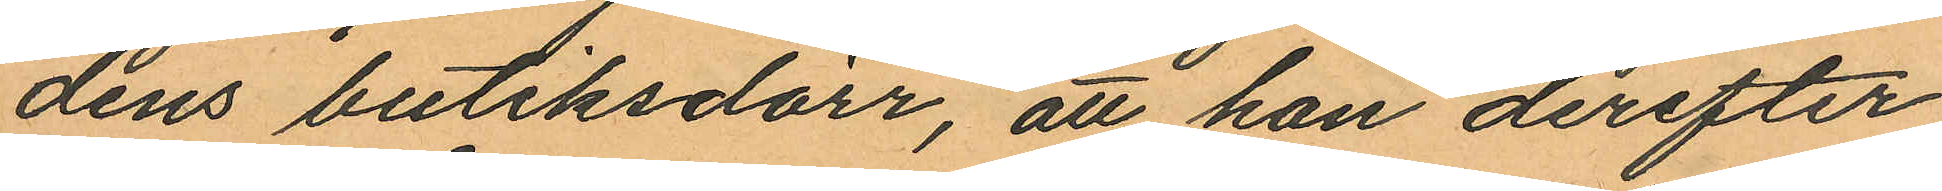dens butiksdörr, att han derefter
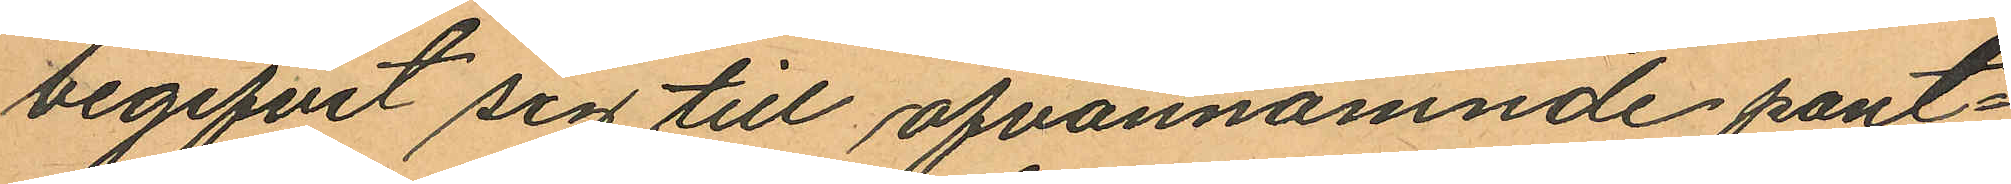begifvit sig till ofvannämnde pant¬
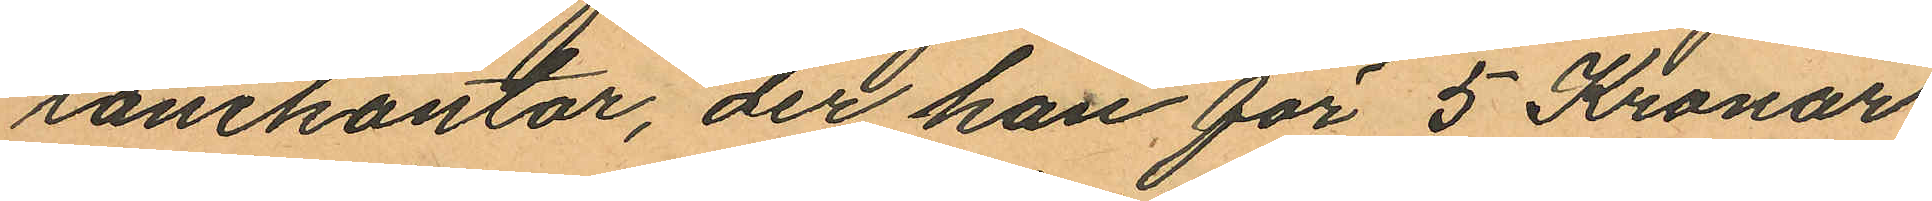lånekontor, der han för 5 Kronor
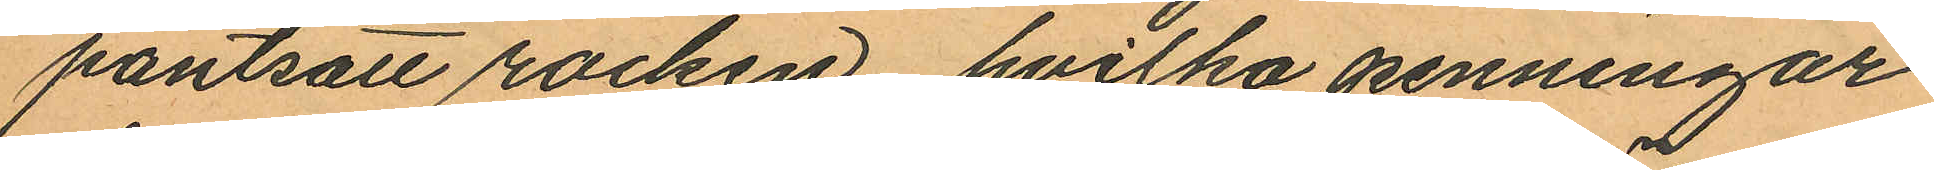pantsatt rocken, hvilka penningar
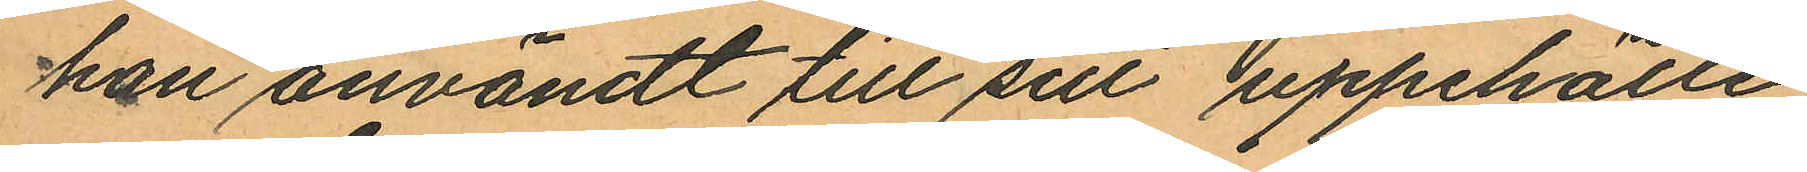han användt till sitt uppehälle,
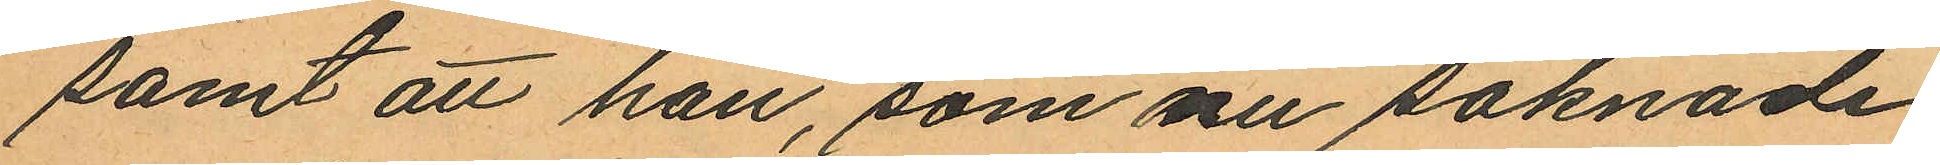samt att han, som nu saknade
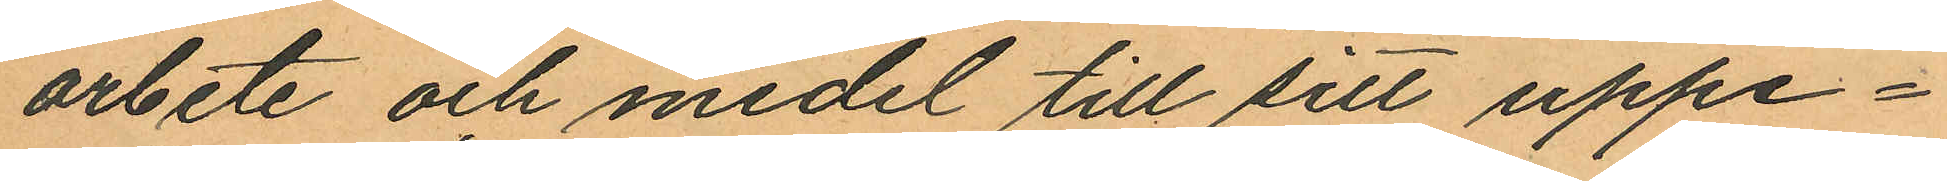arbete och medel till sitt uppe¬
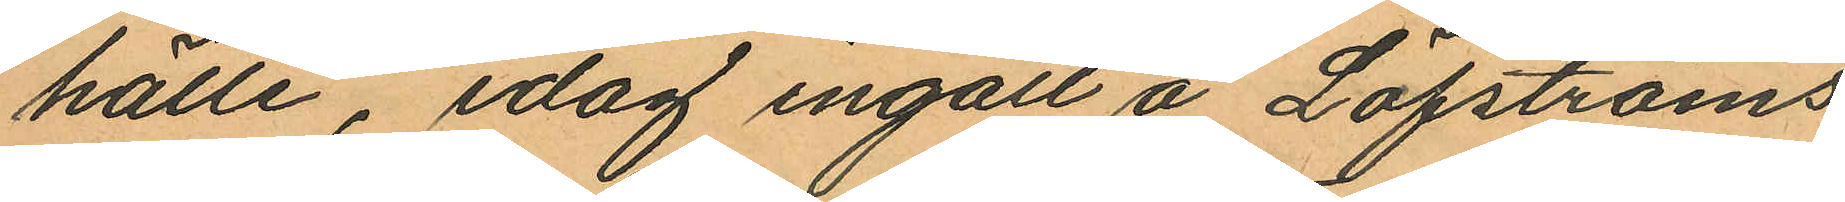hälle, idag ingått å Löfströms
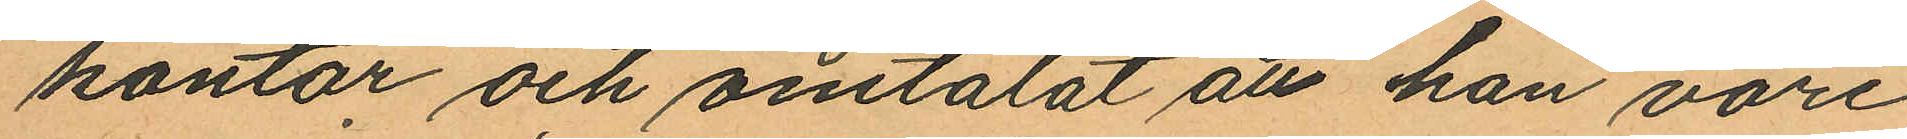kontor och omtalat att han vore
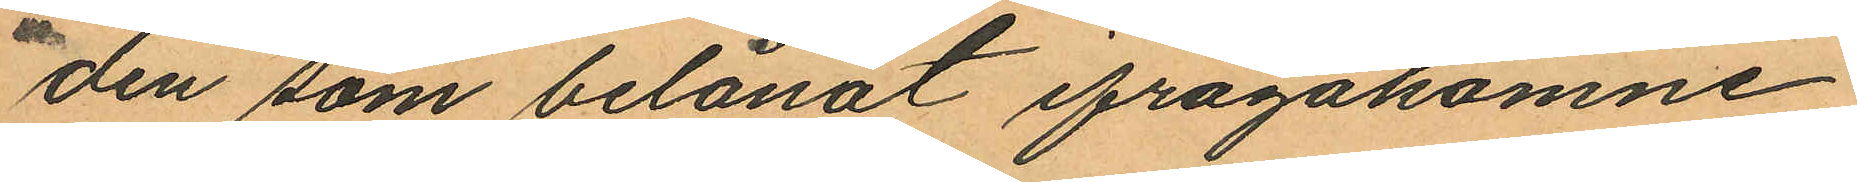den som belånat ifrågakomne
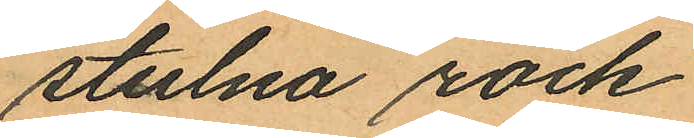stulna rock.
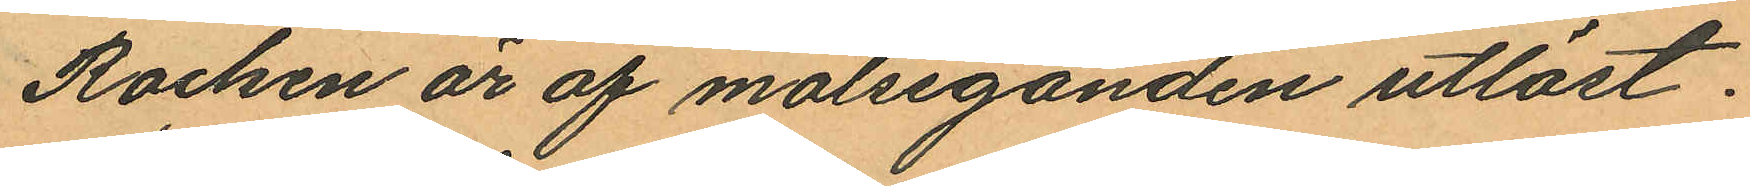Rocken är af målseganden utlöst.
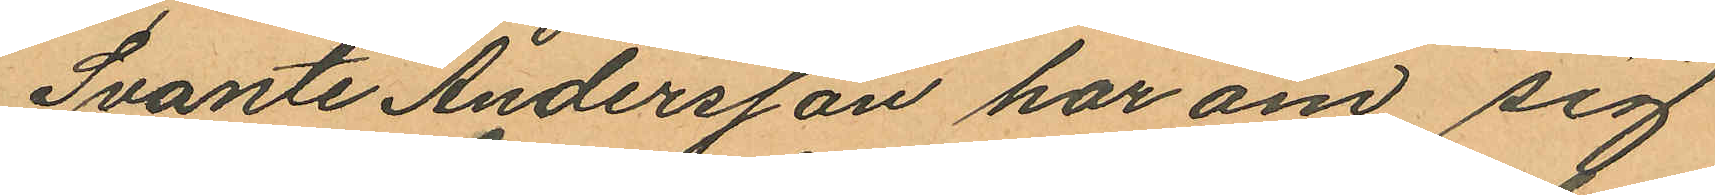Svante Andersson har om sig
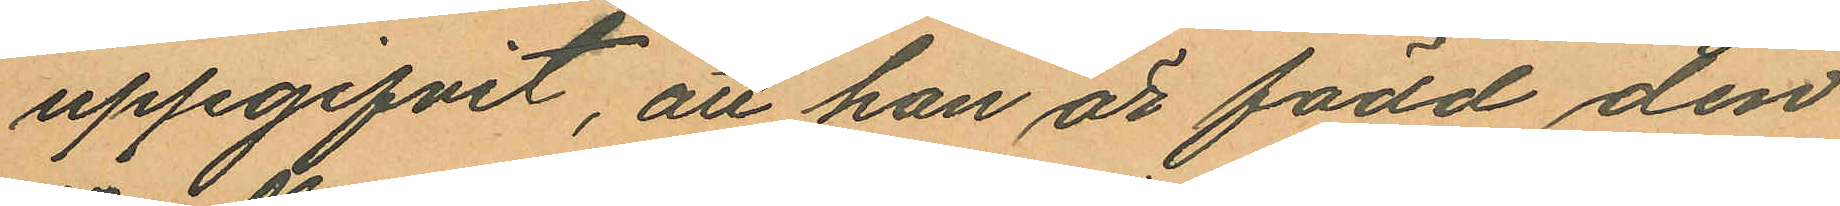uppgifvit, att han är född den
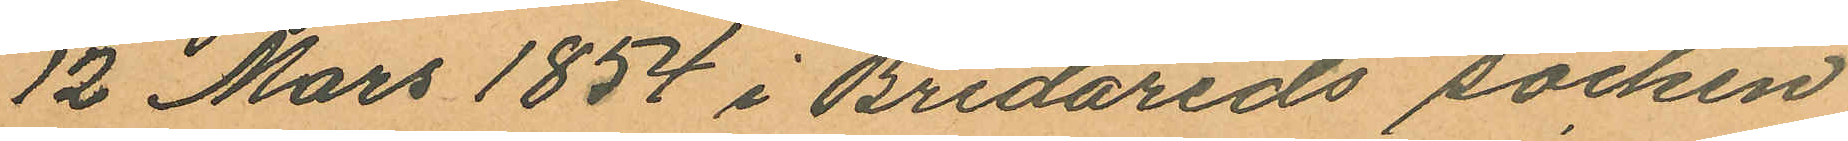12 Mars 1854 i Bredareds socken
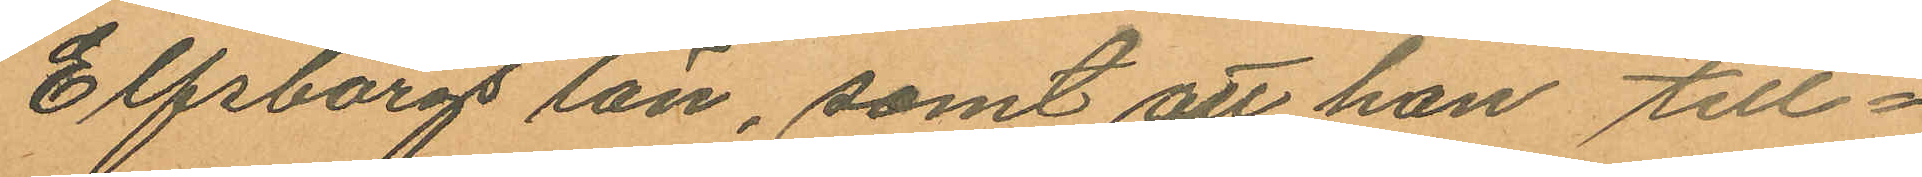Elfsborgs län, samt att han till¬
